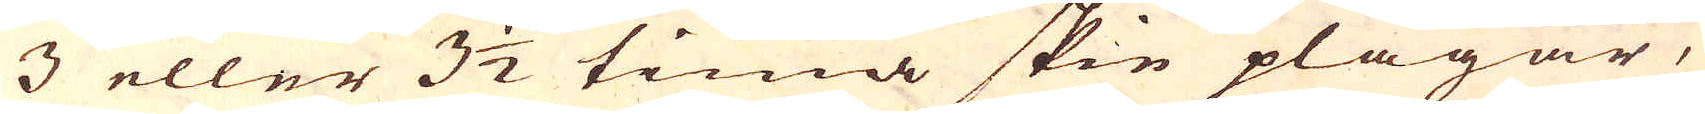3 eller 3 1/2 tima skie plägar,
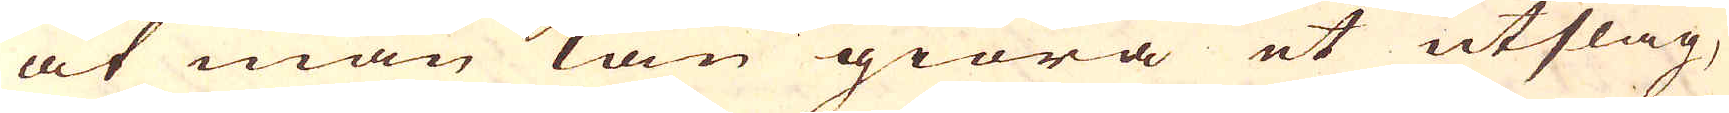at man kan giöra et utslag,
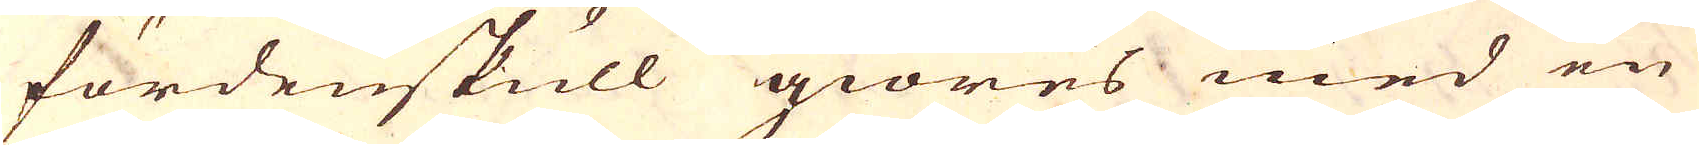fördenskull giöres med en
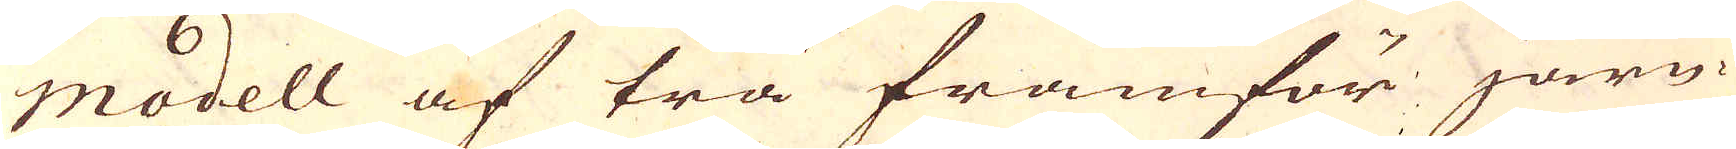modell af trä framför järn-
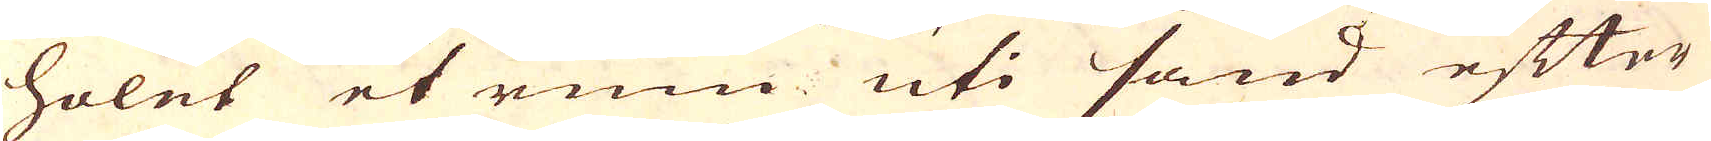holet et rum uti sand efter
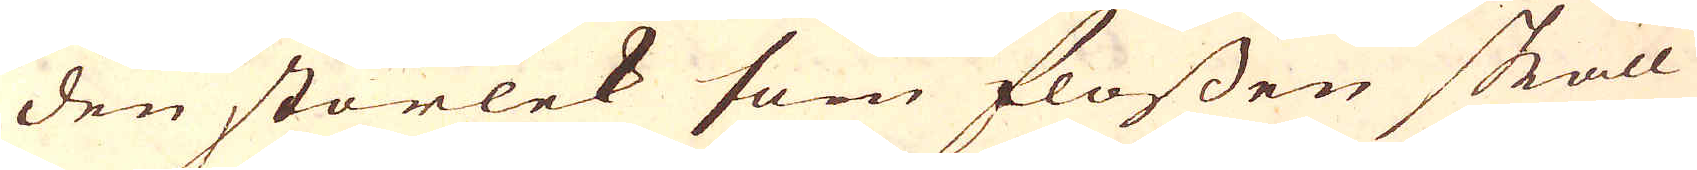den storlek som flossen skall
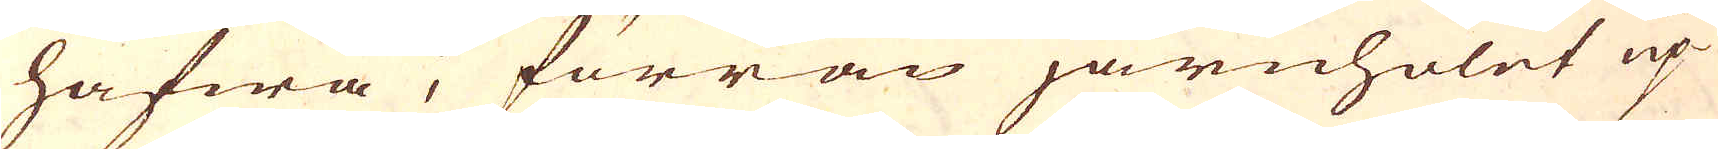hafwa; förrän järnholet up-
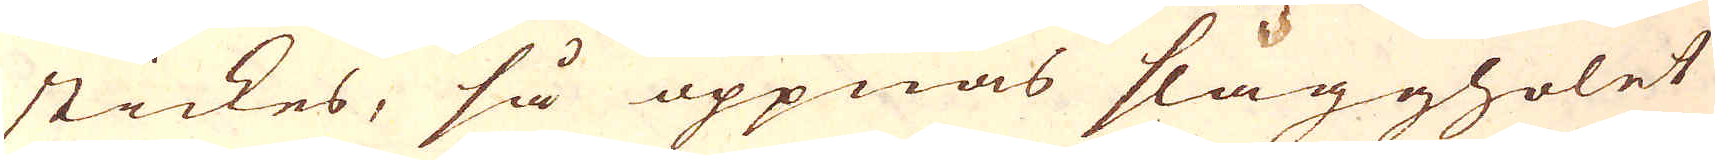stickes, så öppnas slaggholet
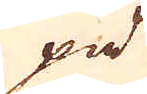på
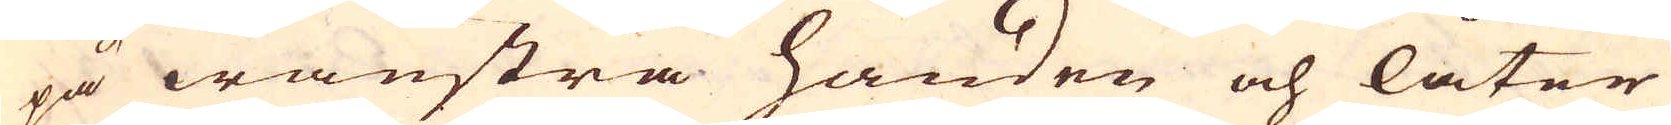på wänstra handen och låter
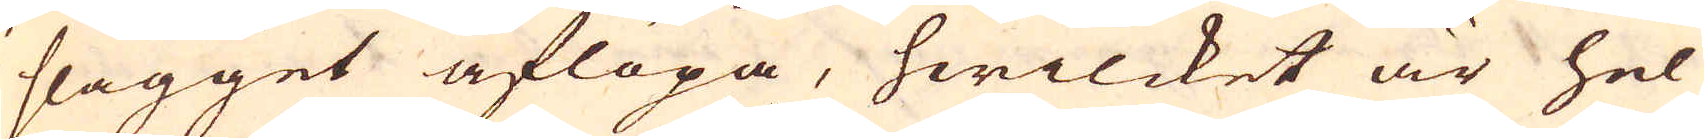slagget aflöpa, hwilcket är hel
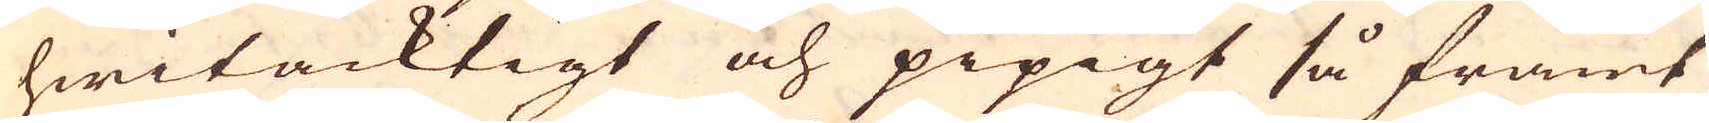hwitacktigt och pipigt så framt
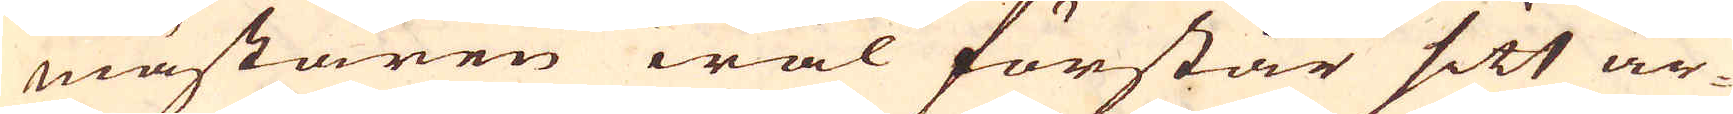mästaren wäl förstår sitt ar-
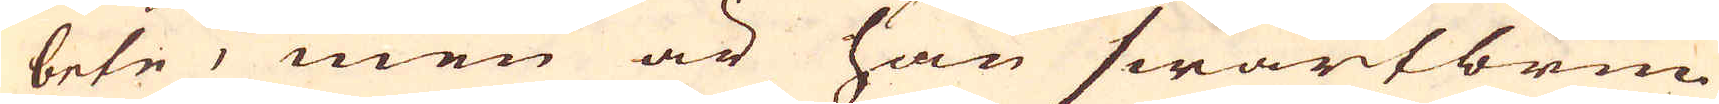bete, men är han swartbrun
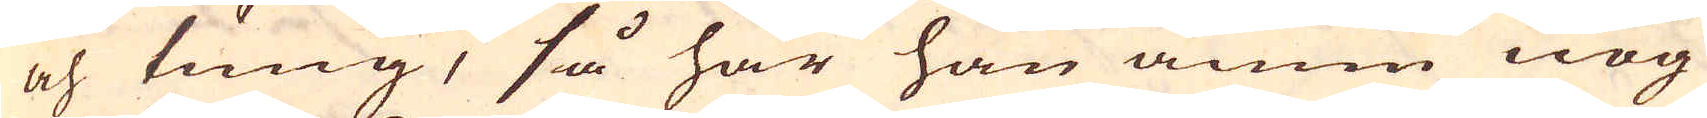och tung, så har han ännu nog
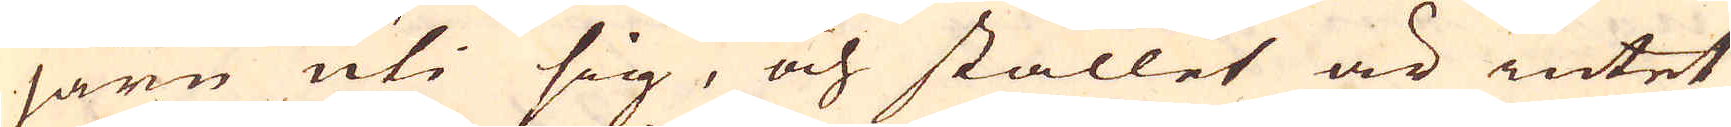järn uti sig, och stället är intet
